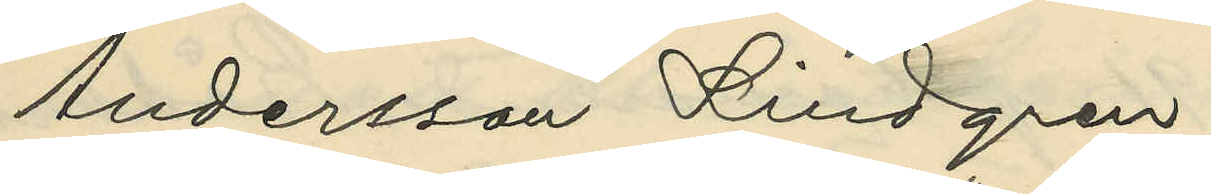Andersson Lindgren.
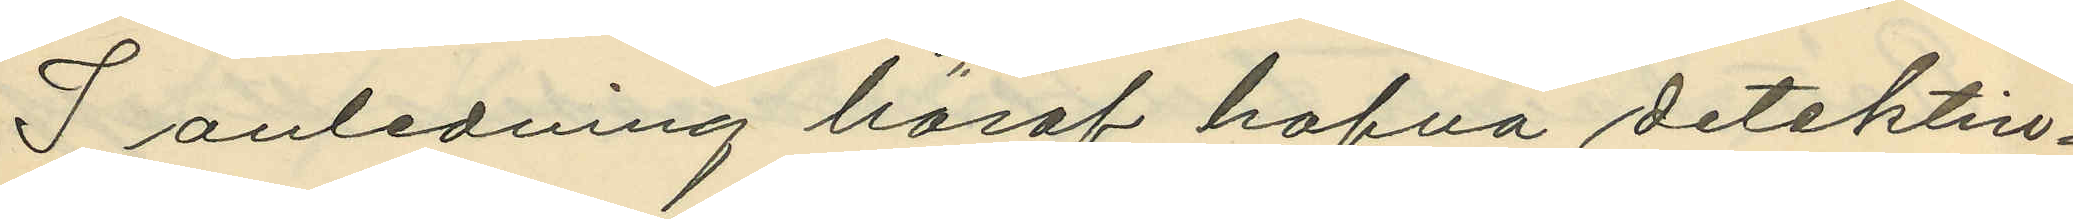I anledning häraf hafva detektiv¬
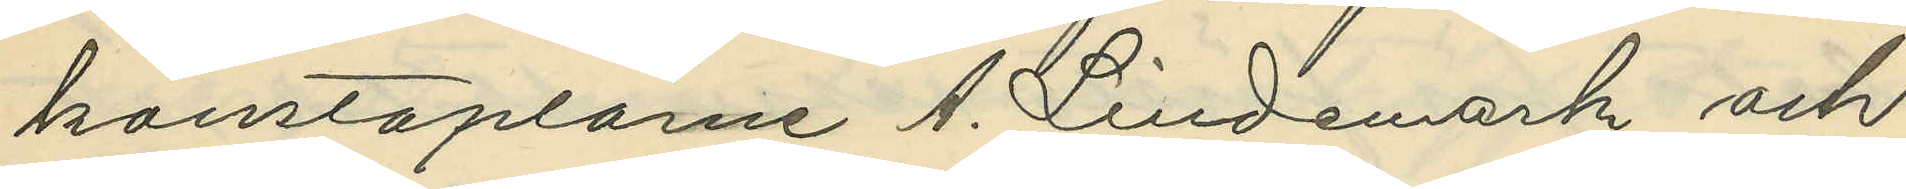konstaplarne A. Lindemark och
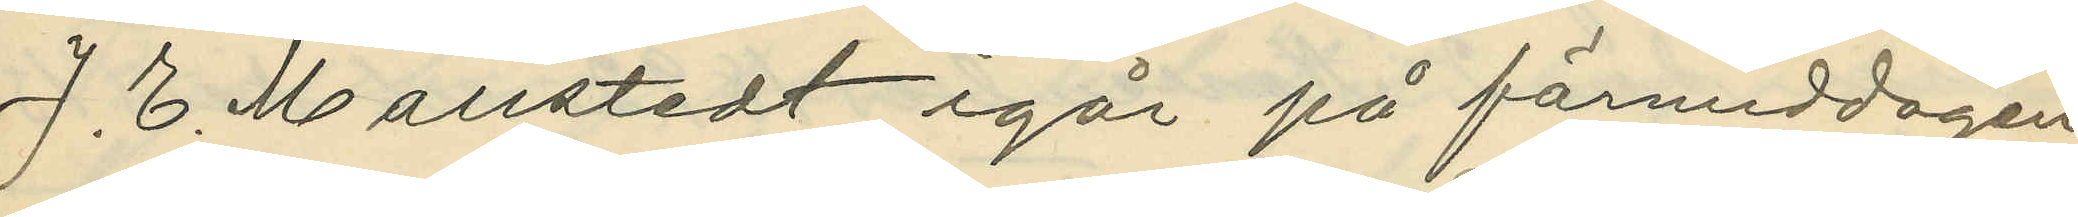J. E. Mollstedt igår på förmiddagen
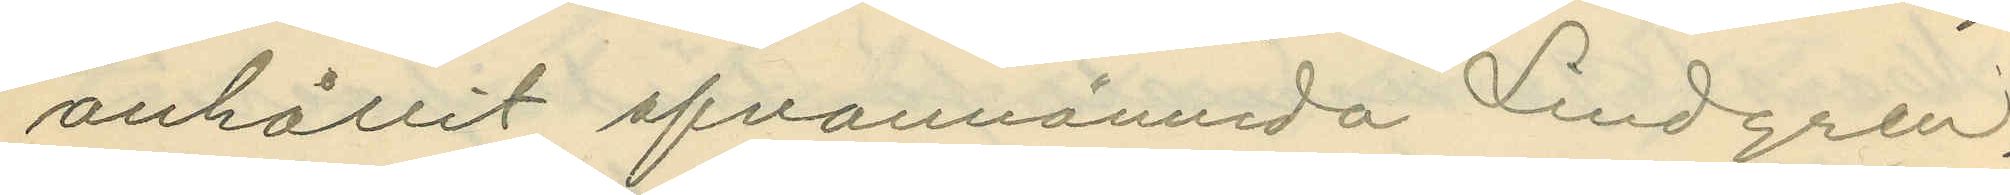anhållit ofvannämnda Lindgren,
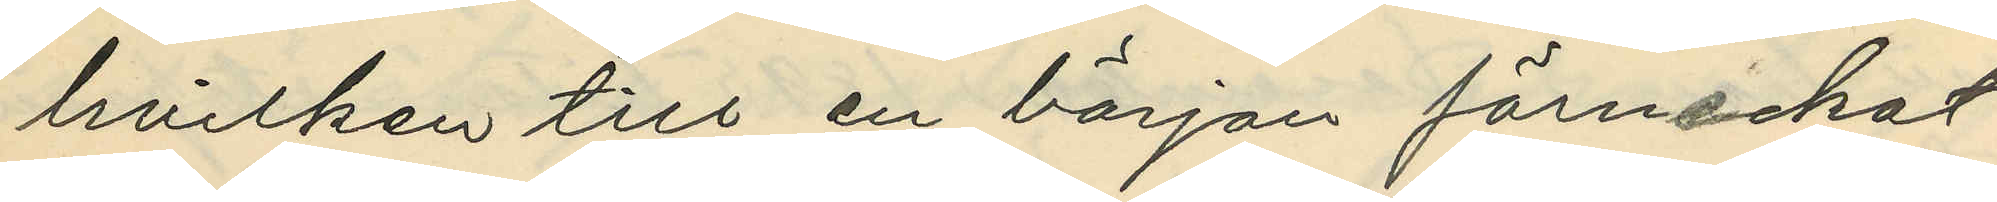hvilken till en början förneckat
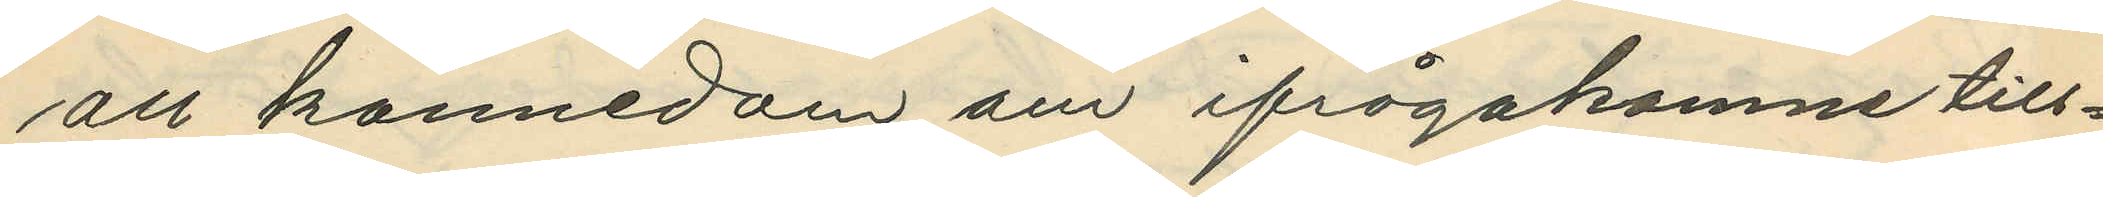all kännedom om ifrågakomne till¬
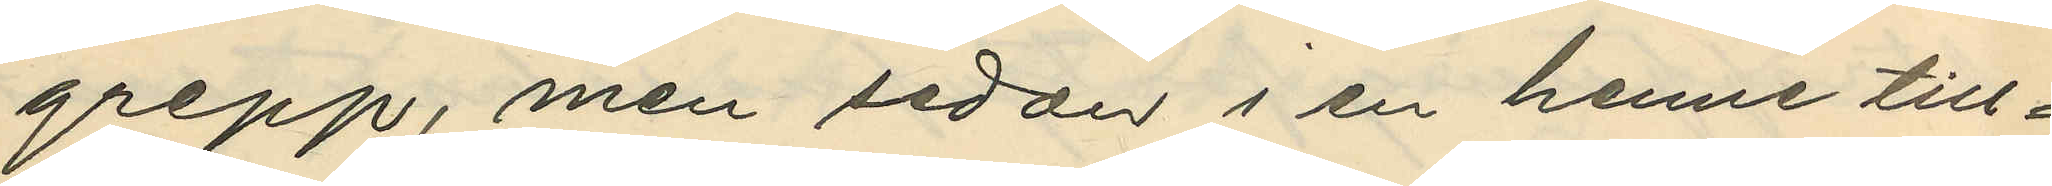grepp, men sedan i en henne till¬
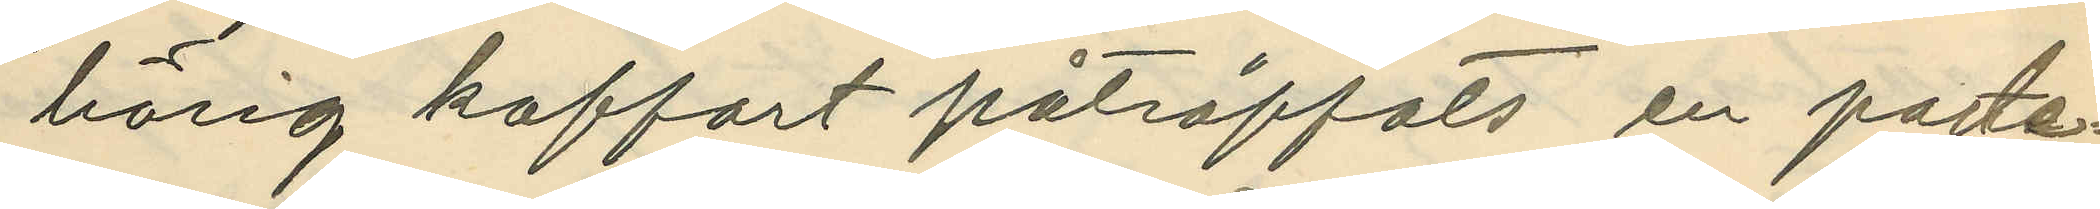hörig koffort påträffats en porte¬
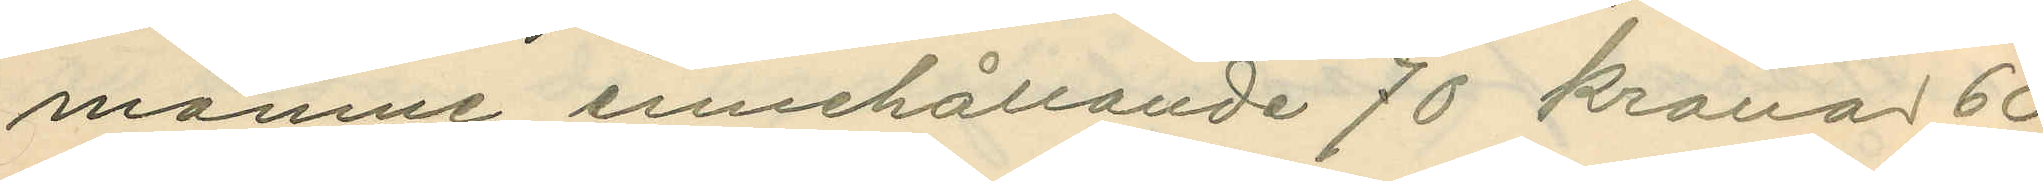momne innehållande 70 kronor 60
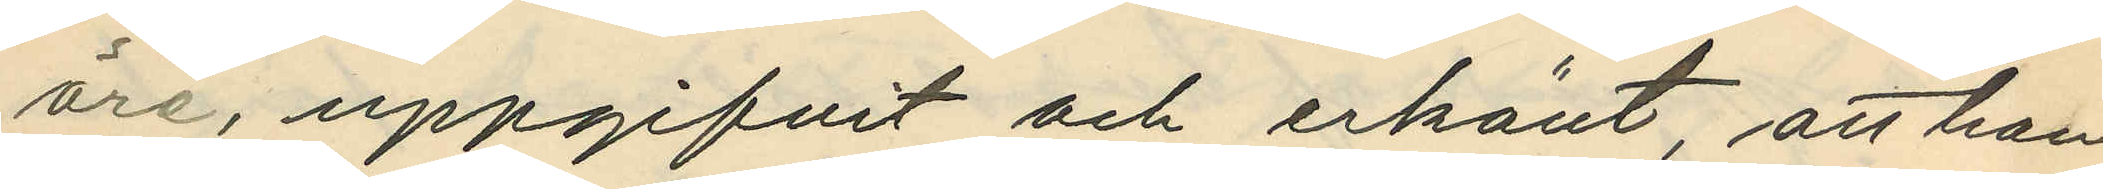öre, uppgifvit och erkänt, att hon
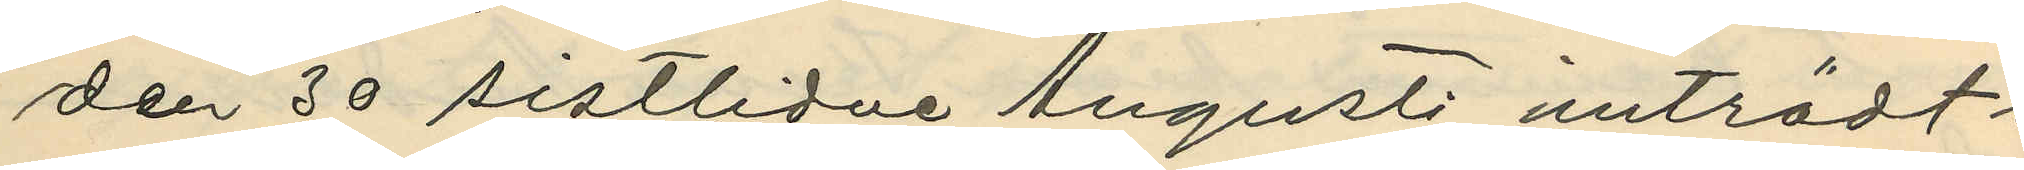den 30 sistlidne Augusti inträdt i
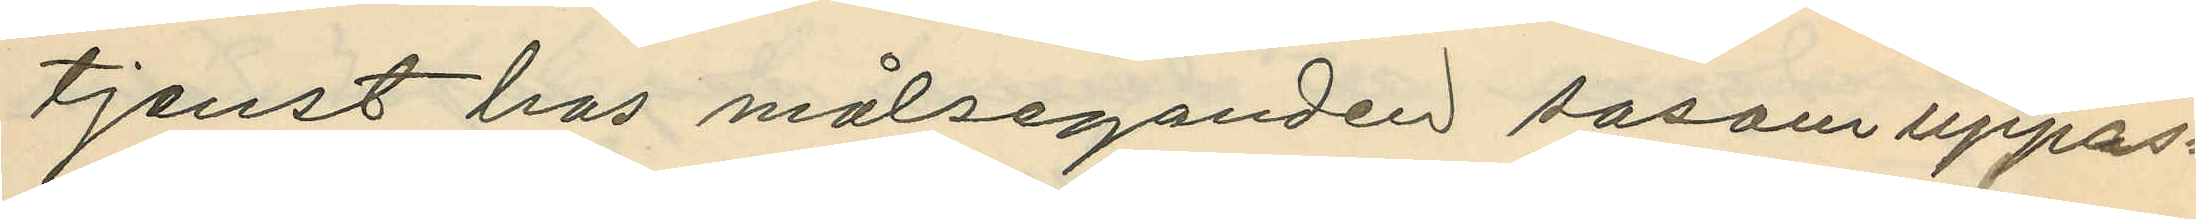tjenst hos målseganden sasom uppas¬
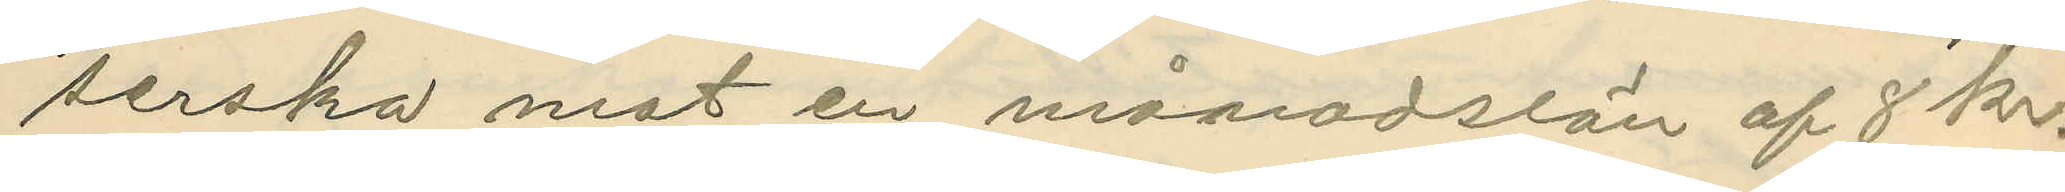serska mot en månadslön af 8 kr.
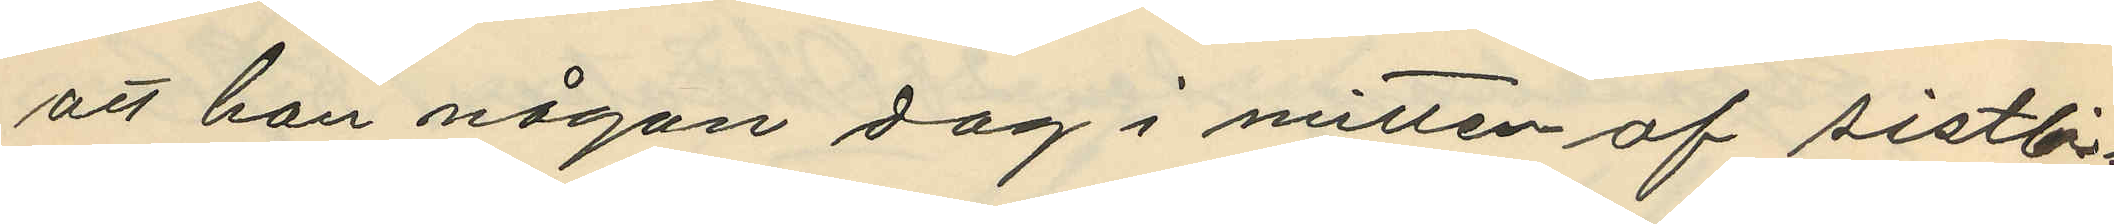att hon någon dag i mitten af sistli¬
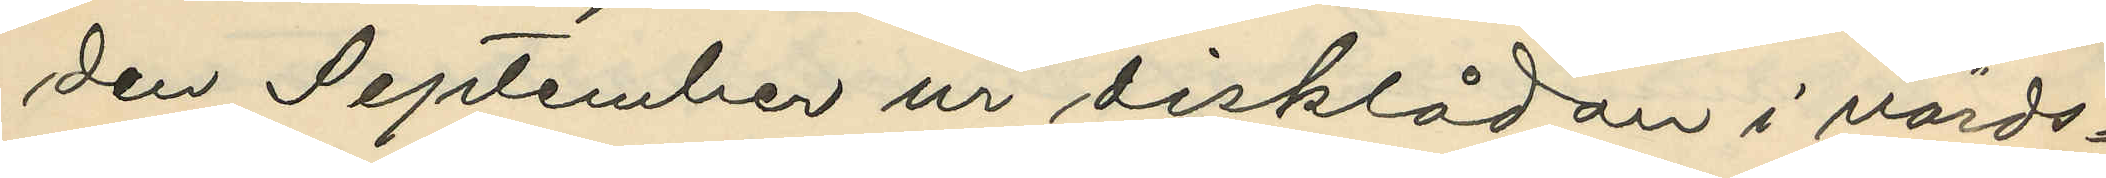den September ur disklådan i värds¬
